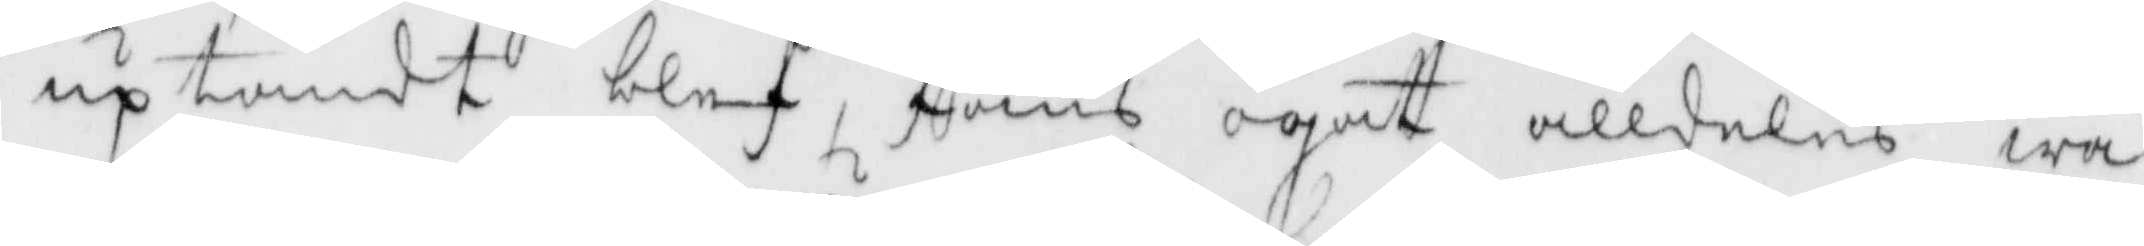up tändt blef, fans ögat alldeles wa¬
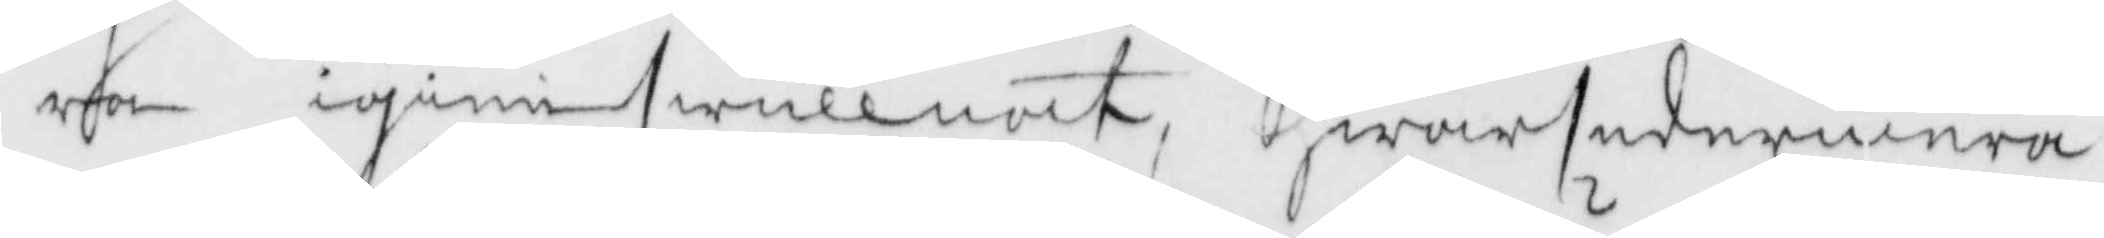ra igienswullnat, hwar sedermera
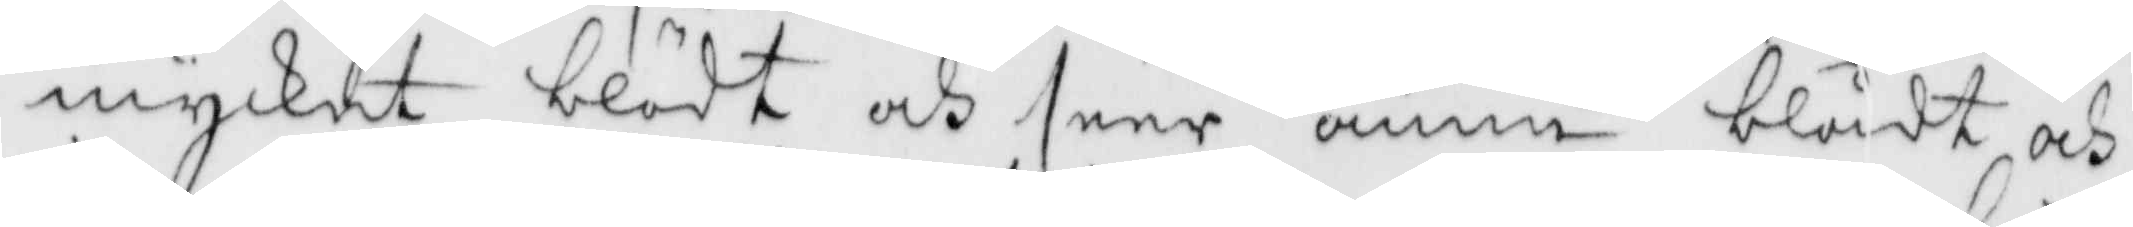mycket blödt och seer ännu blådt och
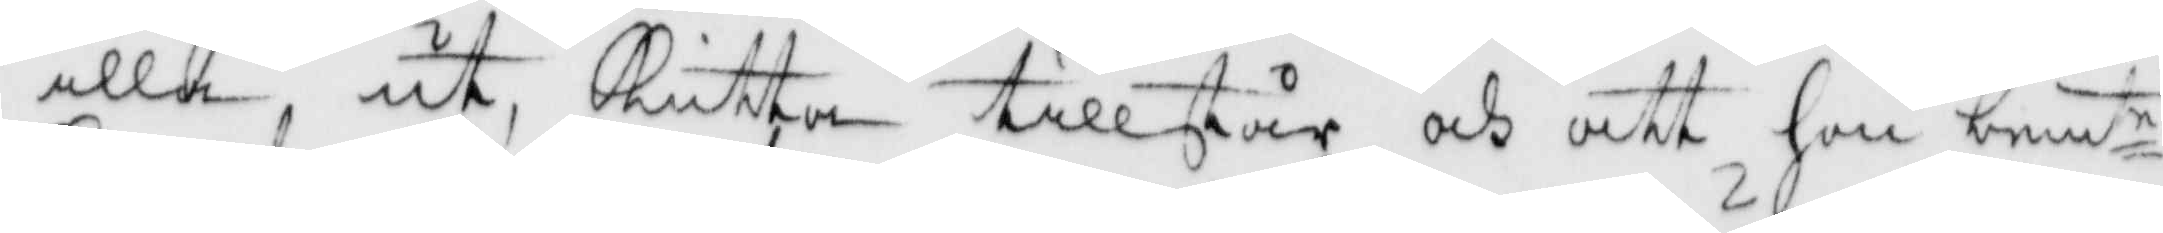illa ut, Kutta tillstår och att hon bemte
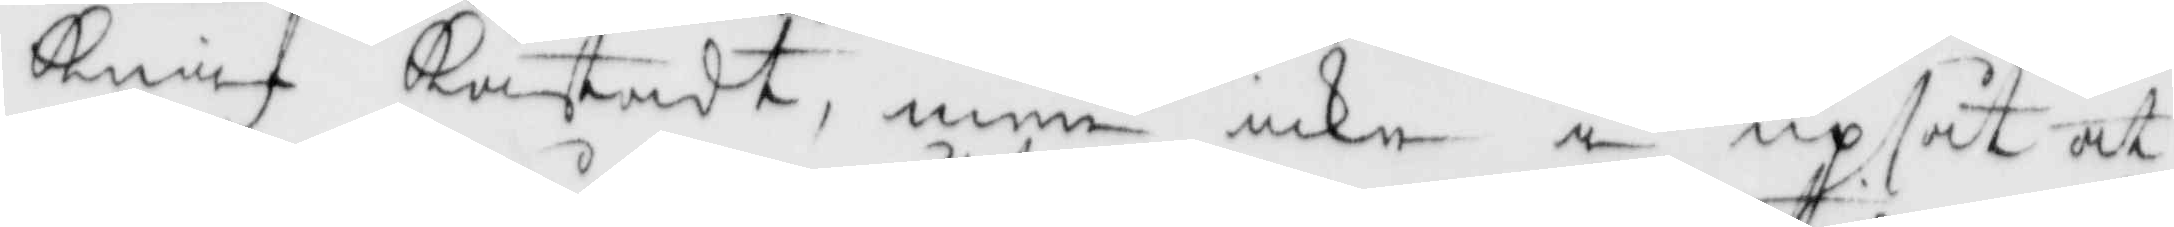knif kastadt, men icke i upsåt at
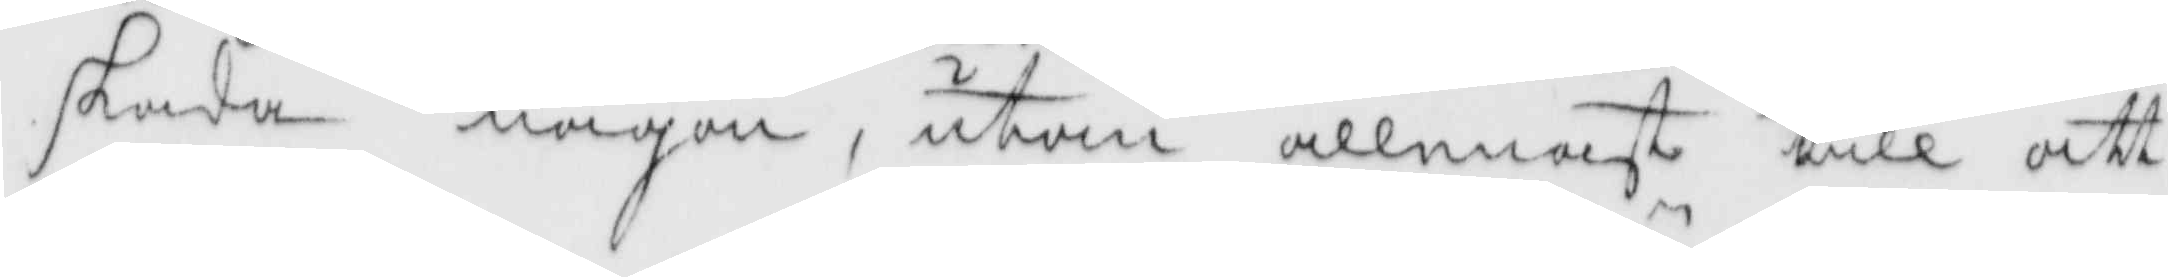skada någon, utan allenast till att 
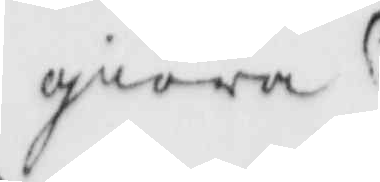giöra
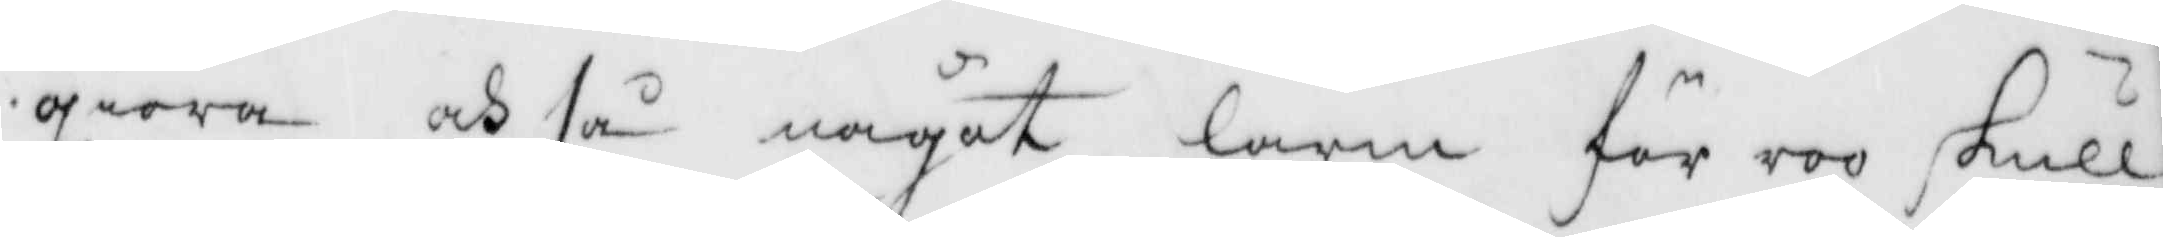giöra och så något larm för roo skull,
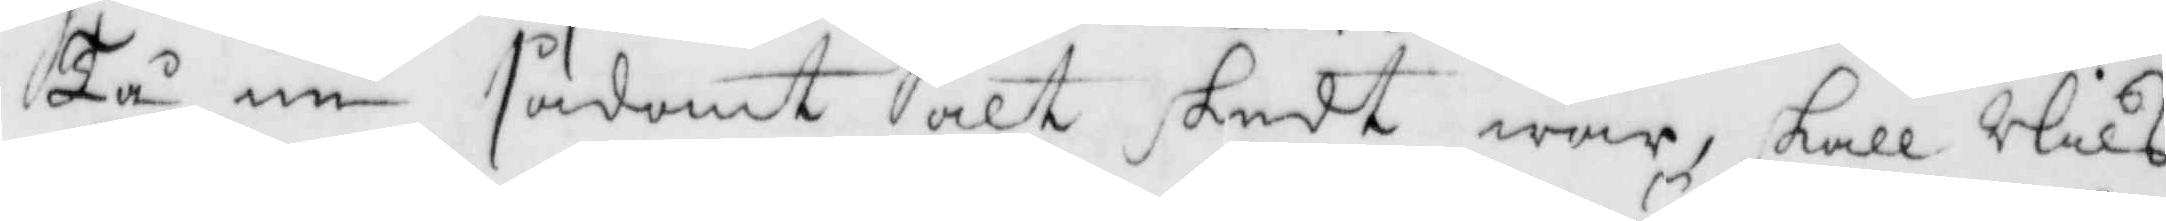Tå nu sådant alt skedt war, skall Nils
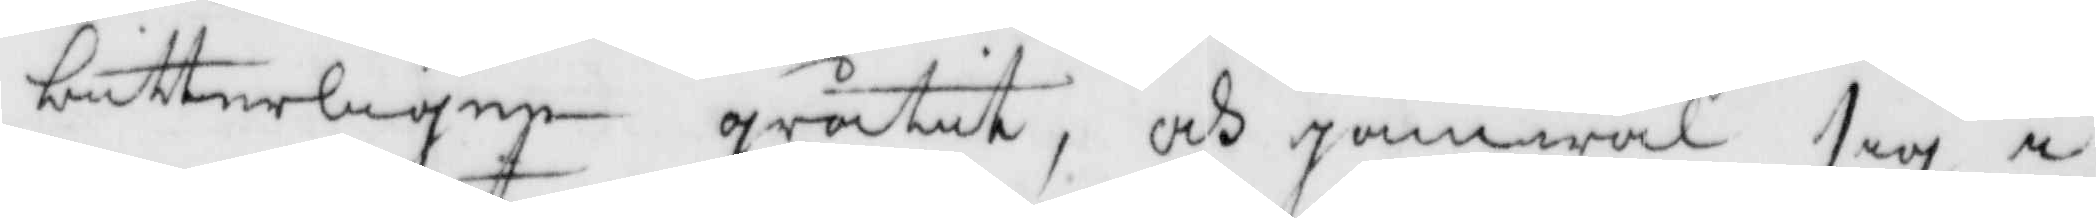bitterligen gråtit, och jamwäl sig i
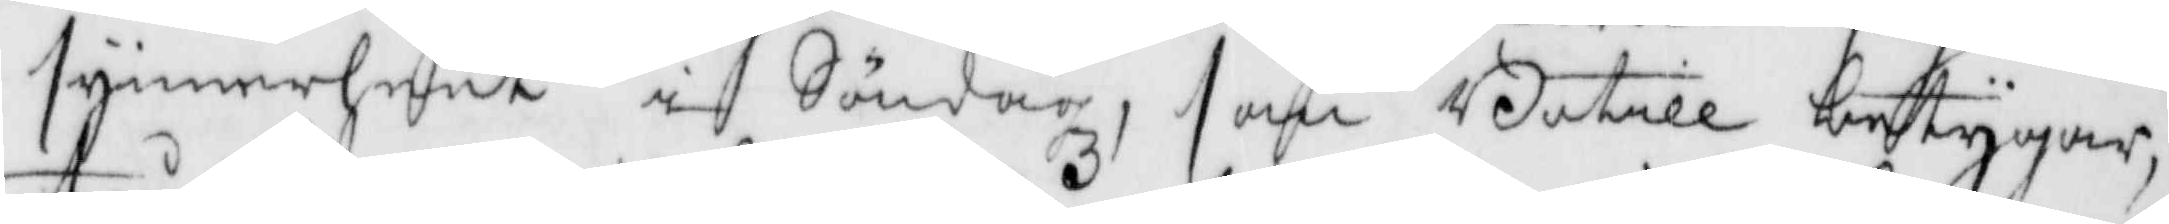synnerheet i Söndagz, som Botill betygar,
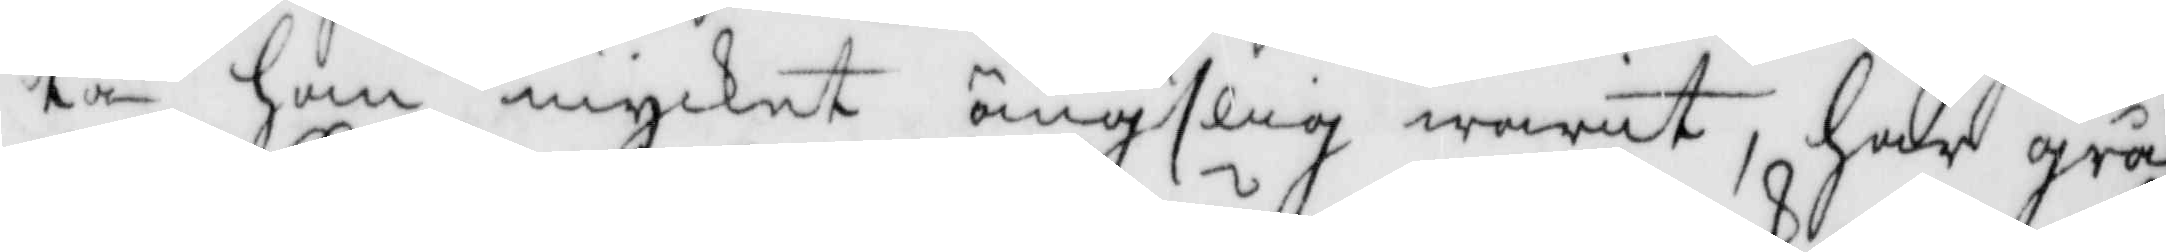tå han mycket ängslig warit, hade grå¬
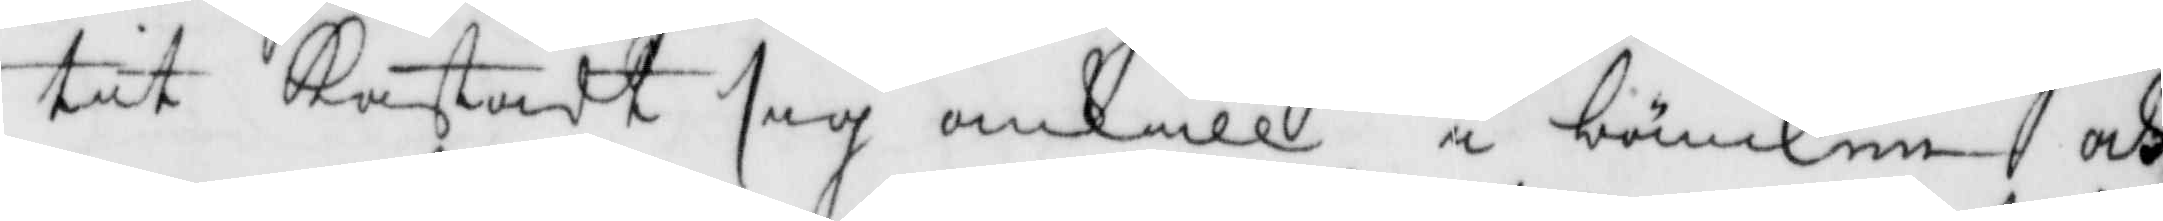tit kastadt sig omkull i bänken och
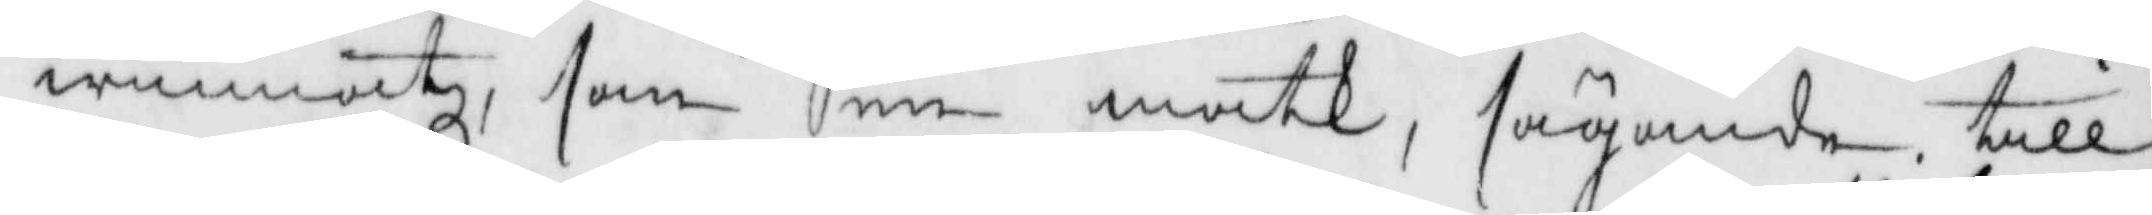winnatz, som en matk, sägande till
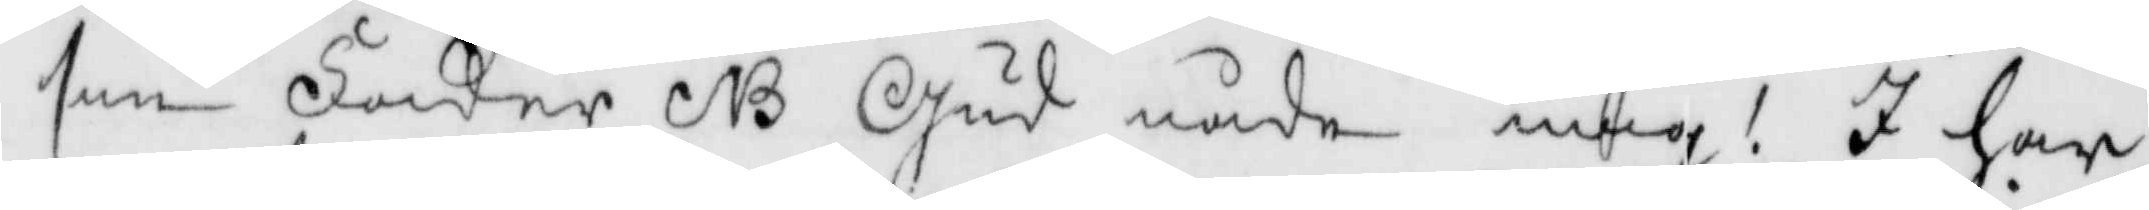sin Fader NB Gud nåde mig! I har
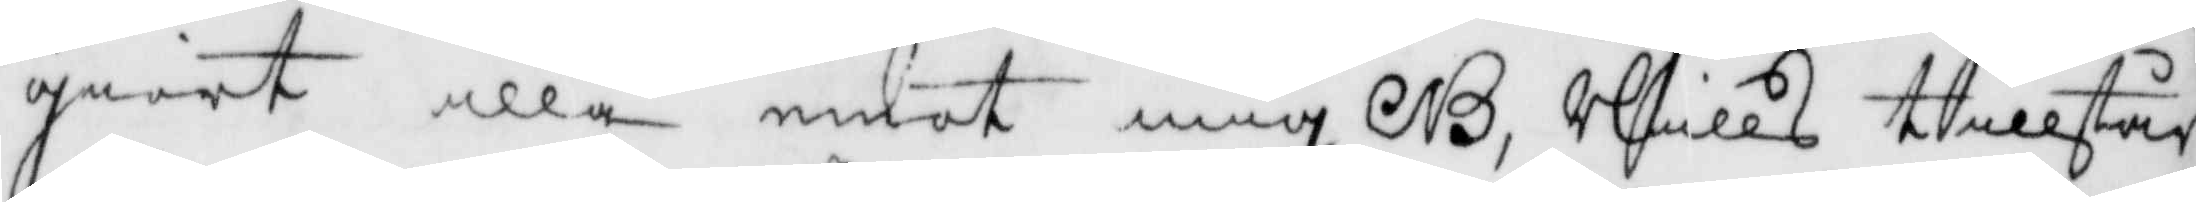giort illa mot mig NB, Nills tillstår
